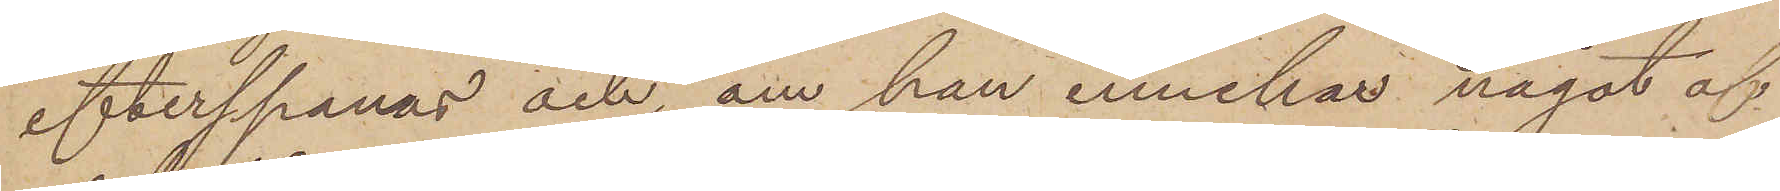efterspanas och, om han innehar något af
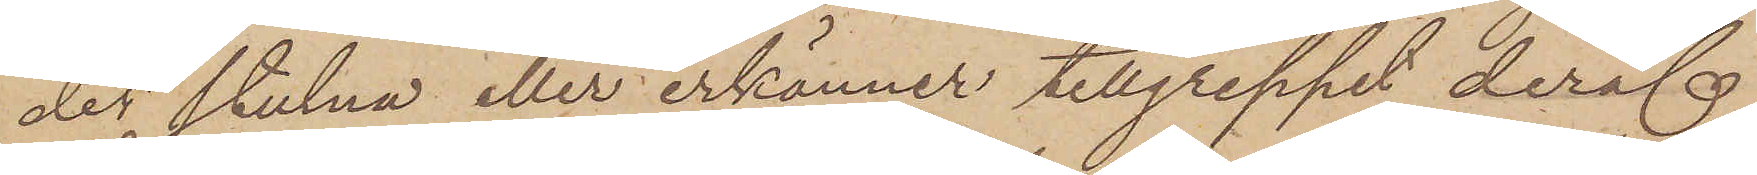der stulna eller erkännet tillgreppet deraf
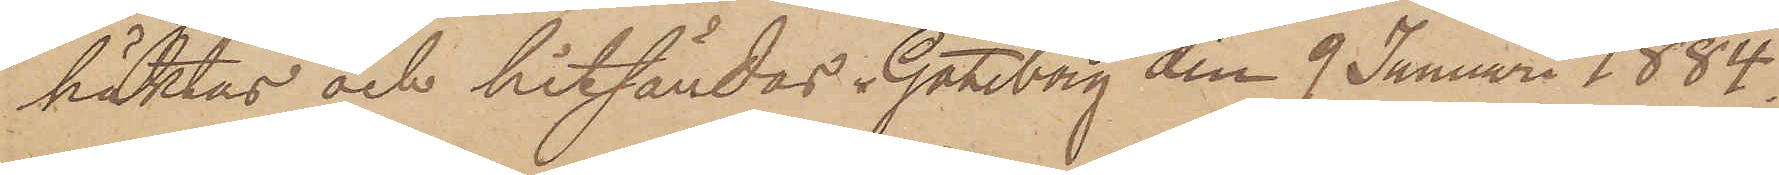häktas och hitsändas. Göteborg den 9 Januari 1884.
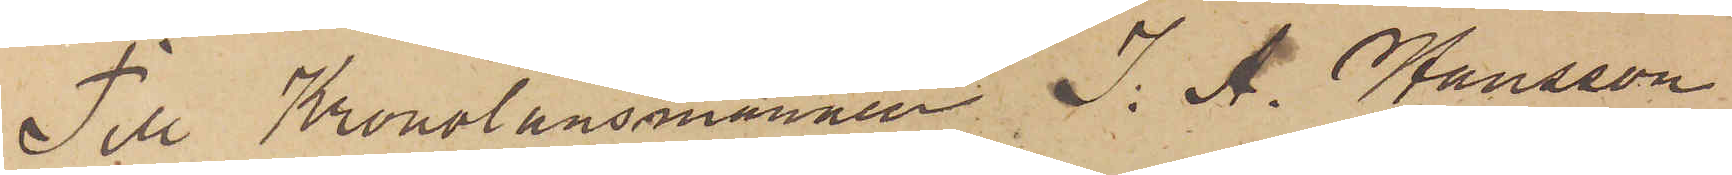Till Kronolänsmannen J. A. Hansson
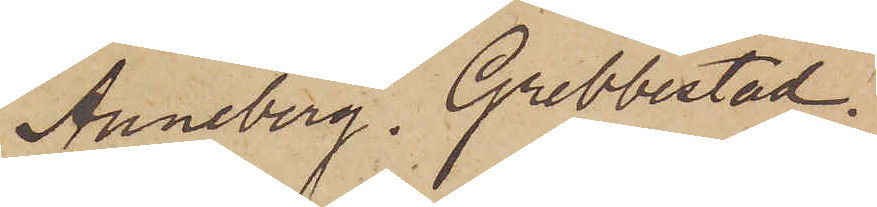Anneberg. Grebbestad.
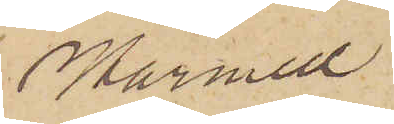Härmed
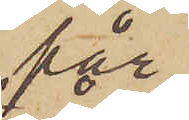får
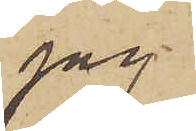jag.
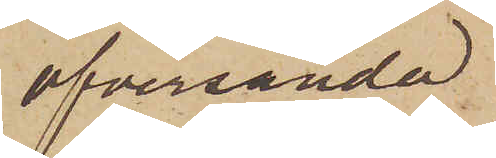öfversända
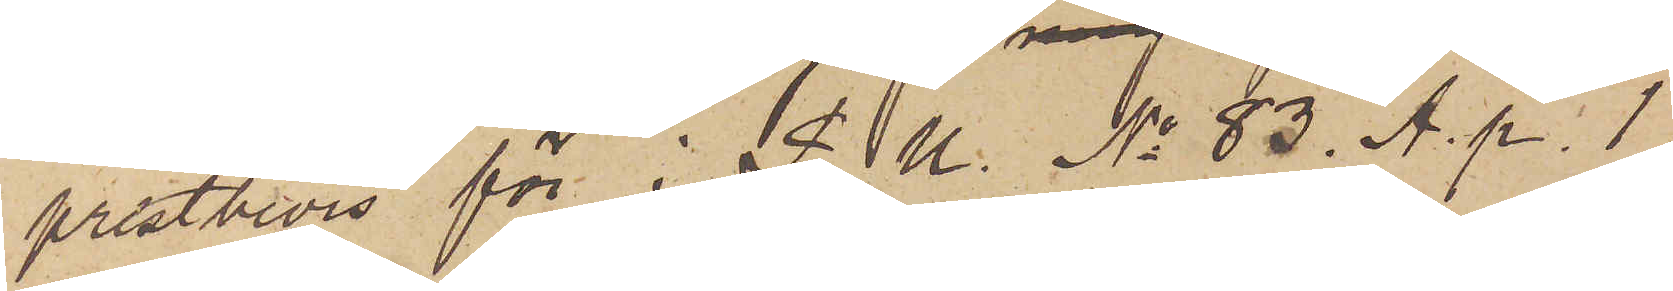prestbevis för i P. U. No 83. A. p. 1
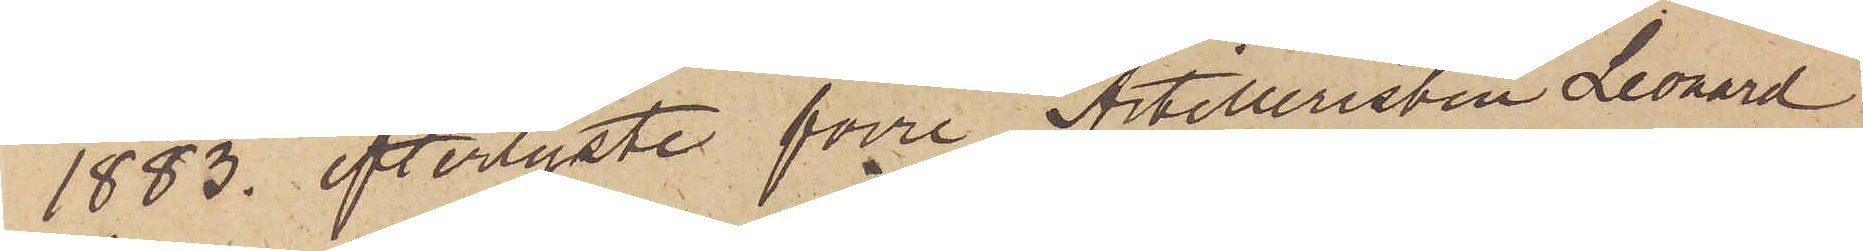1883 efterlyste förre Artilleristen Leonard
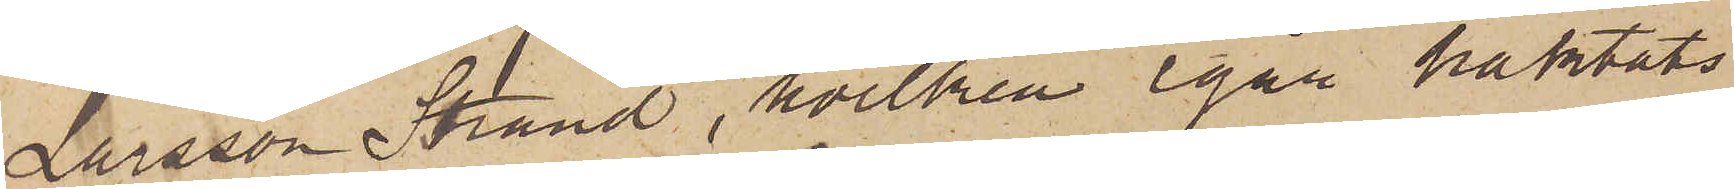Larsson Strand, hvilken igår häktats
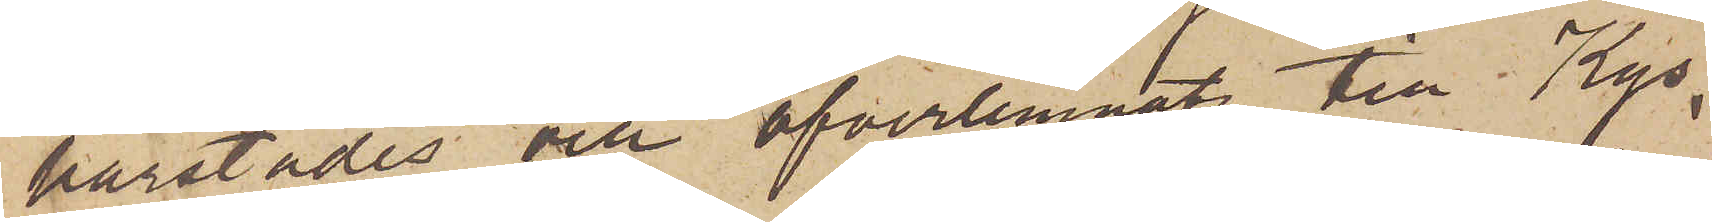härstädes och öfverlemnats till Kgs
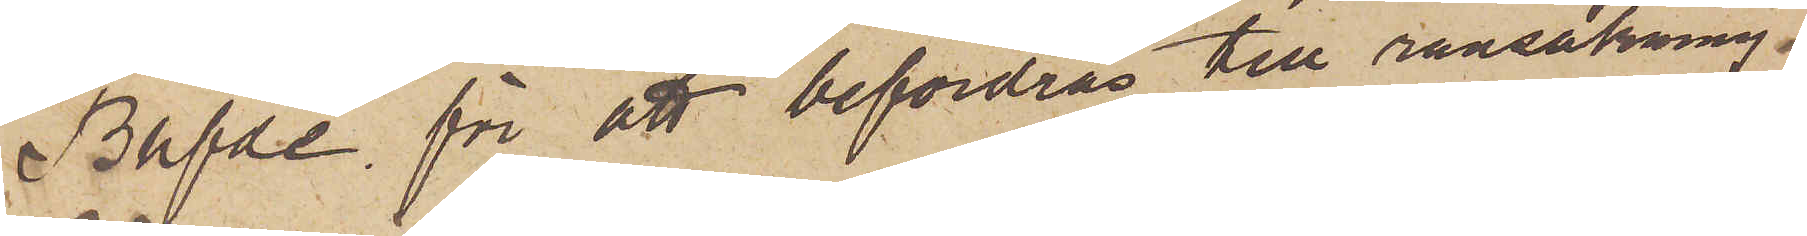Bhfde för att befordras till ransakning.
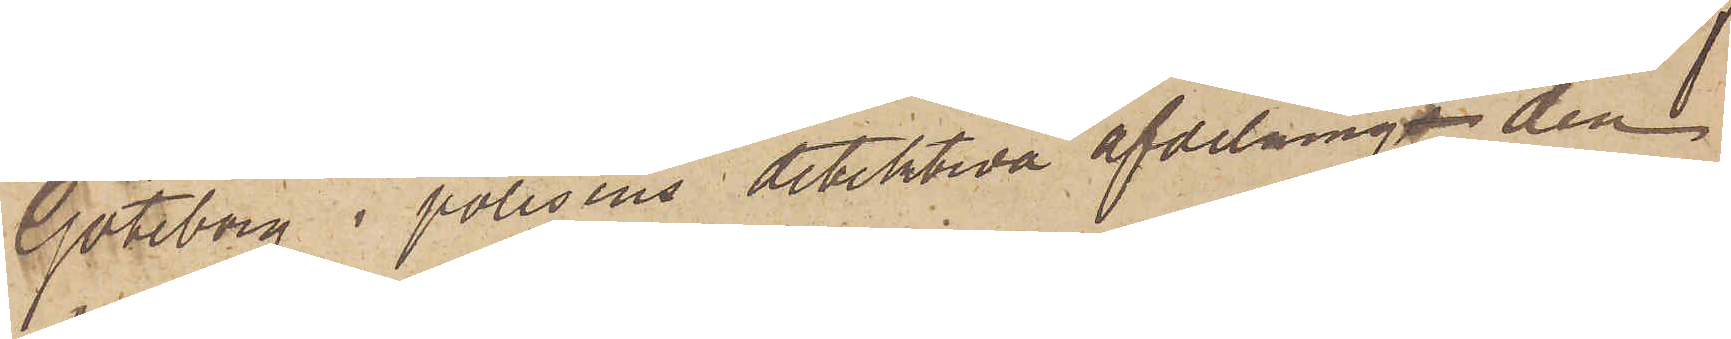Göteborg i polisens detektiva afdelninga den 
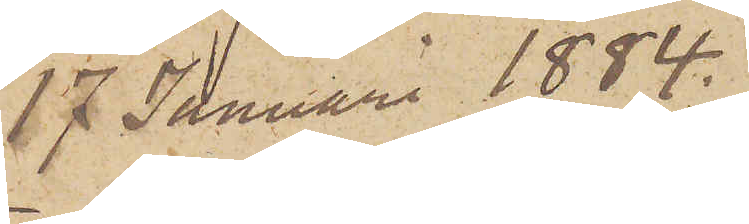17 Januari 1884.
